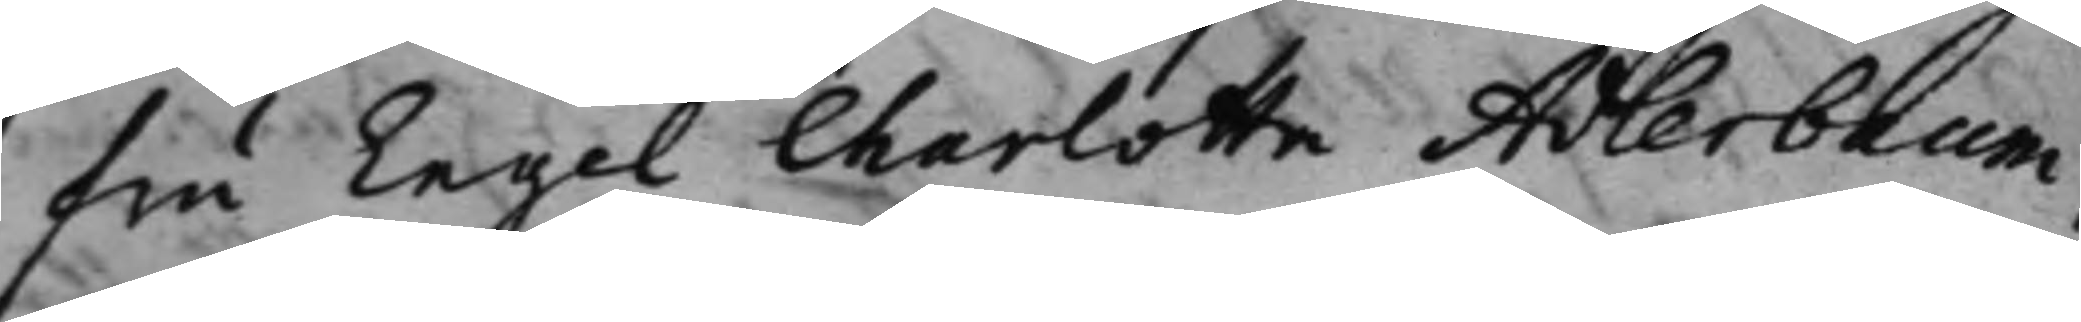fru Engel Charlotta Adlerbaum,
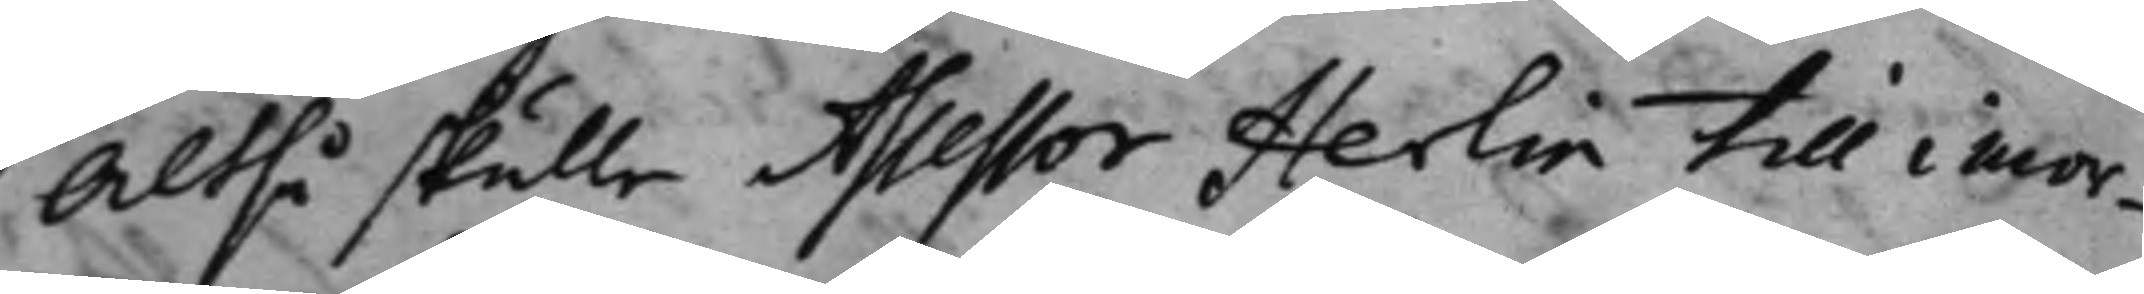Altså skulle Assessor Herlin till imor¬
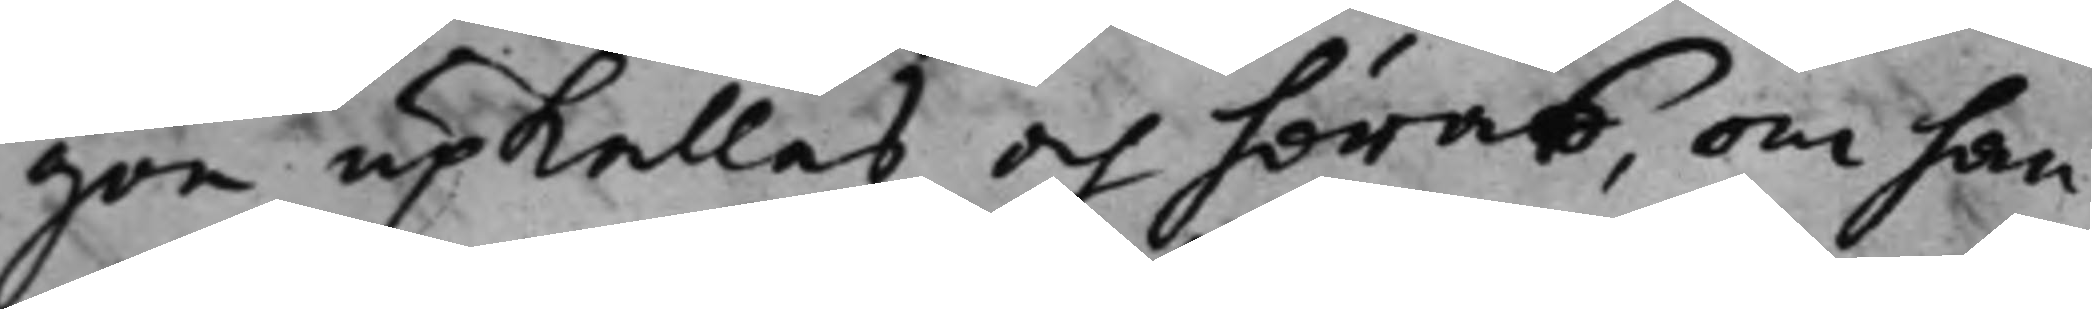gon upkallas och höras, om han
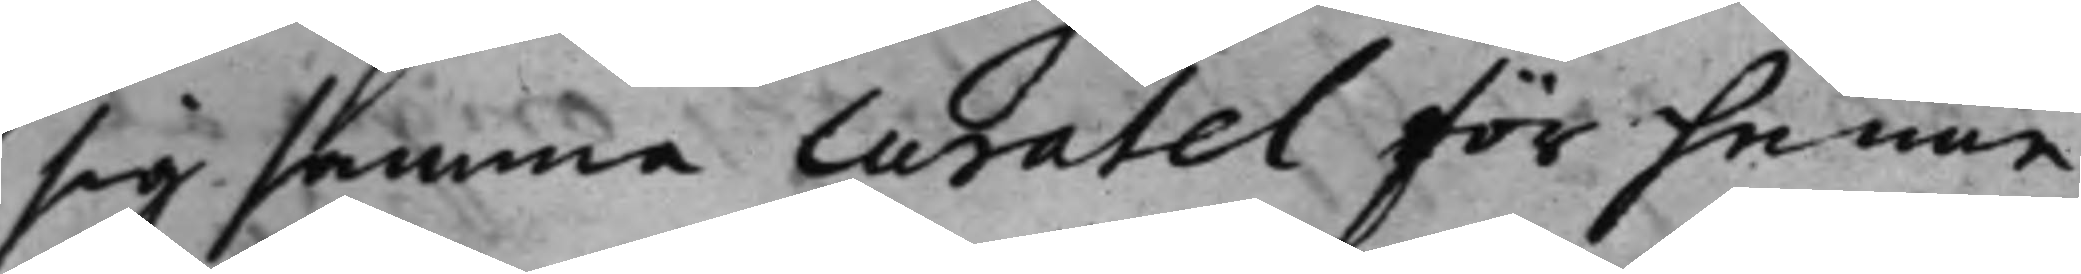sig samma Curatel för henne
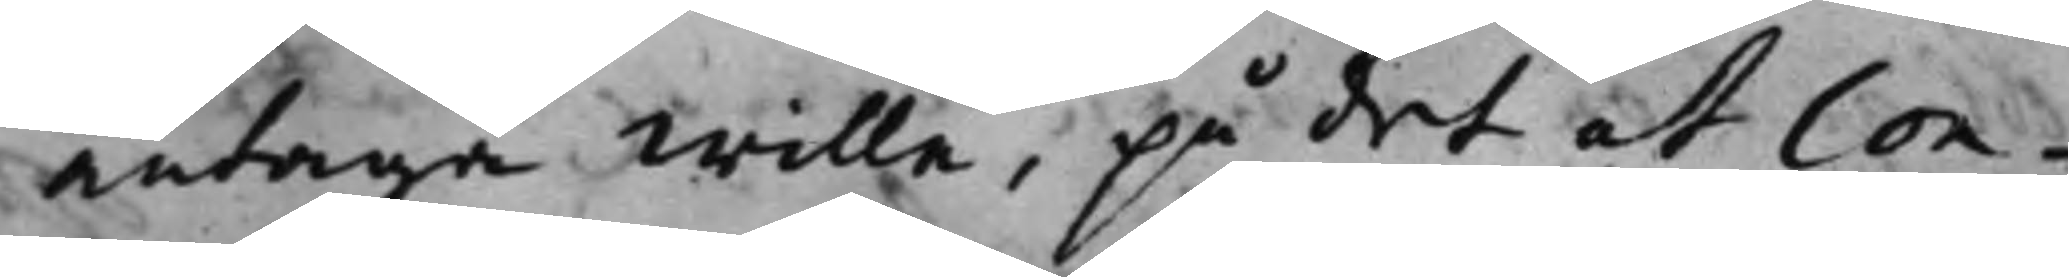antaga wille, på det at Con¬
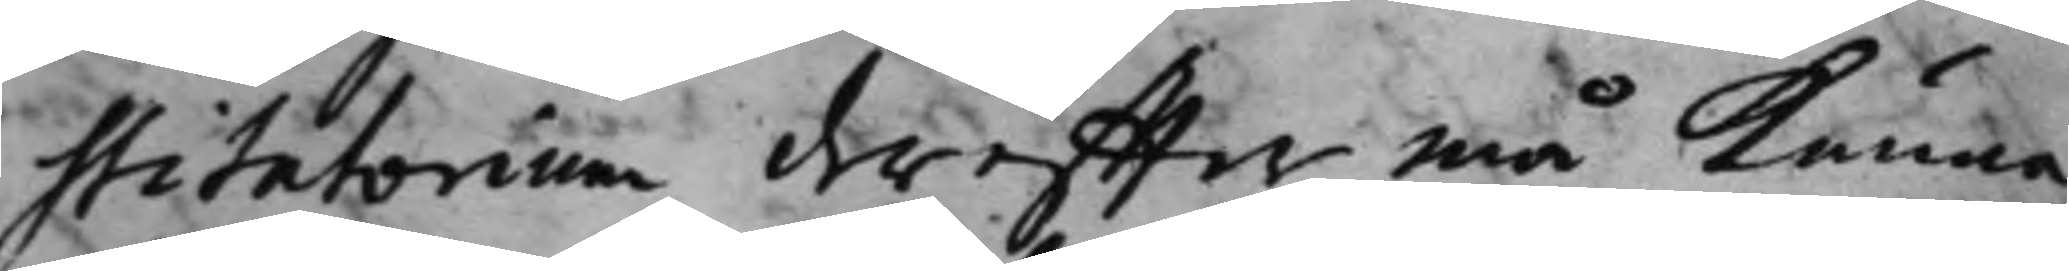stitutorium dereffter må kunna
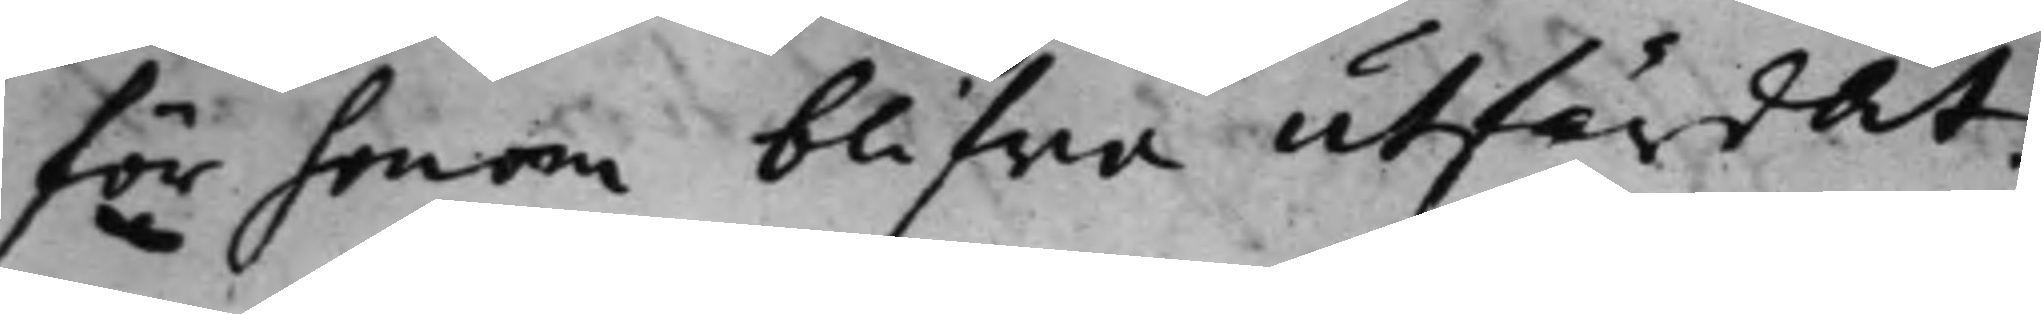för honom blifwa utfärdat.
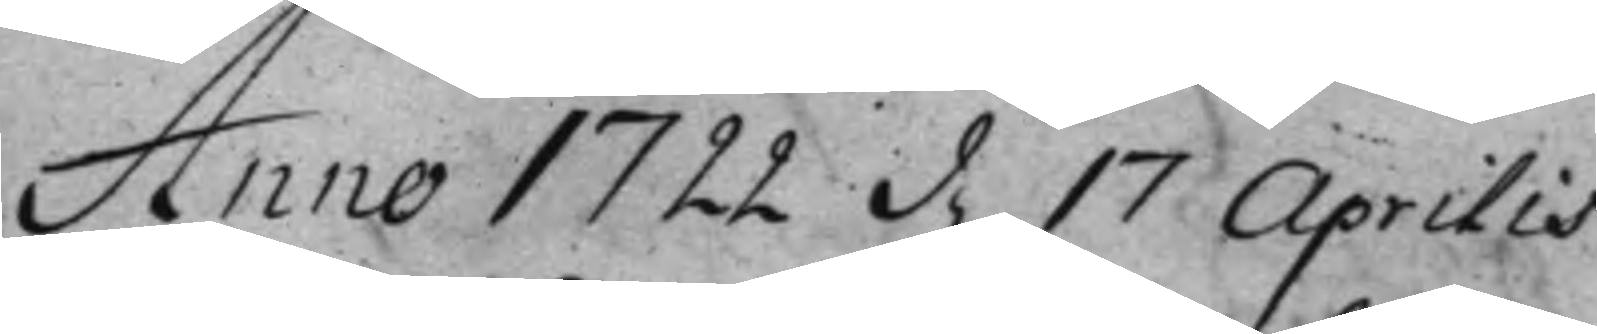Anno 1722 d. 17 Aprilis 
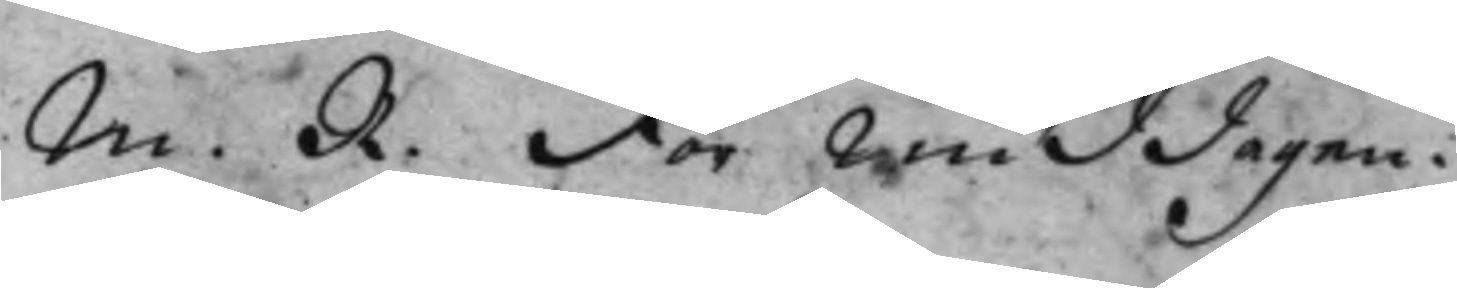M. R. Förmiddagen.
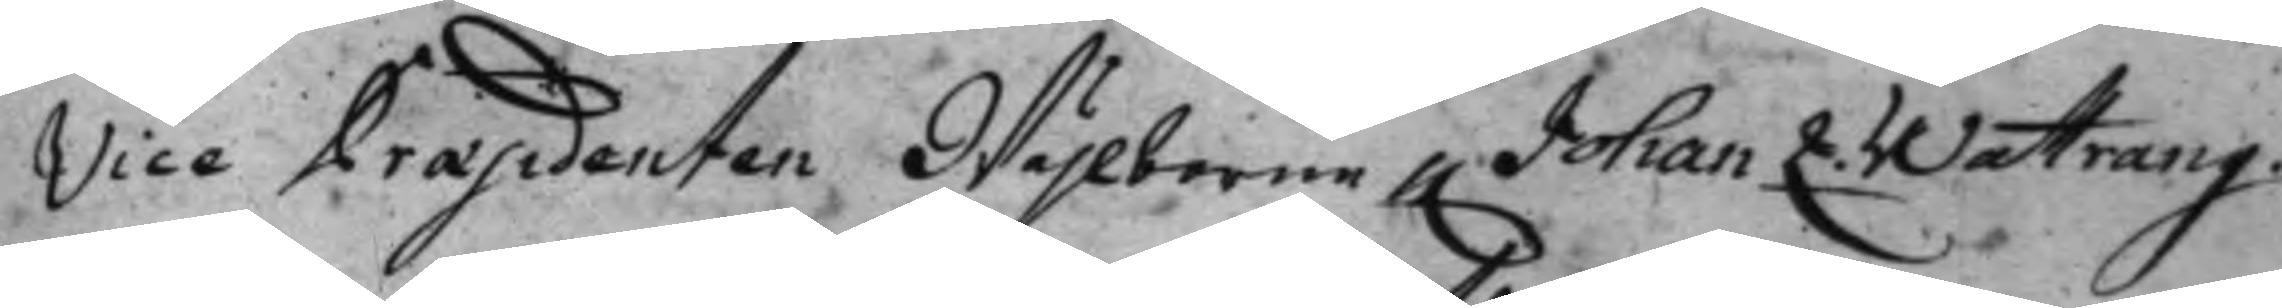Vice Præsidenten Wälborne H. Johan L Wattrang 
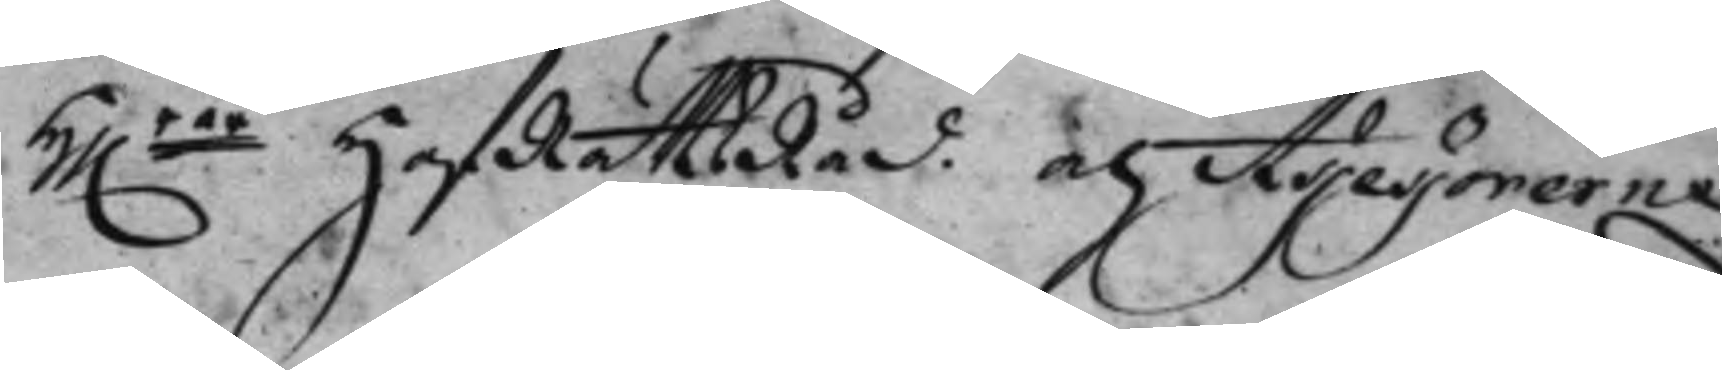Hh.rar HofRättsRåd och Assessorerna 
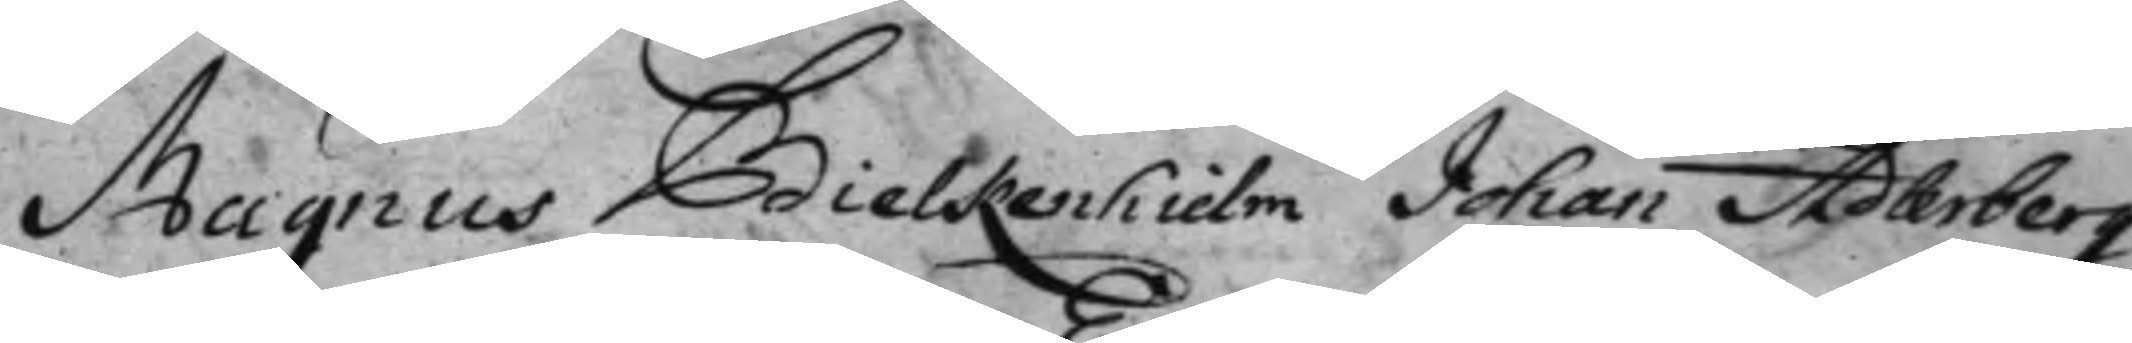Magnus Bielkenhielm, Johan Adlerberg.
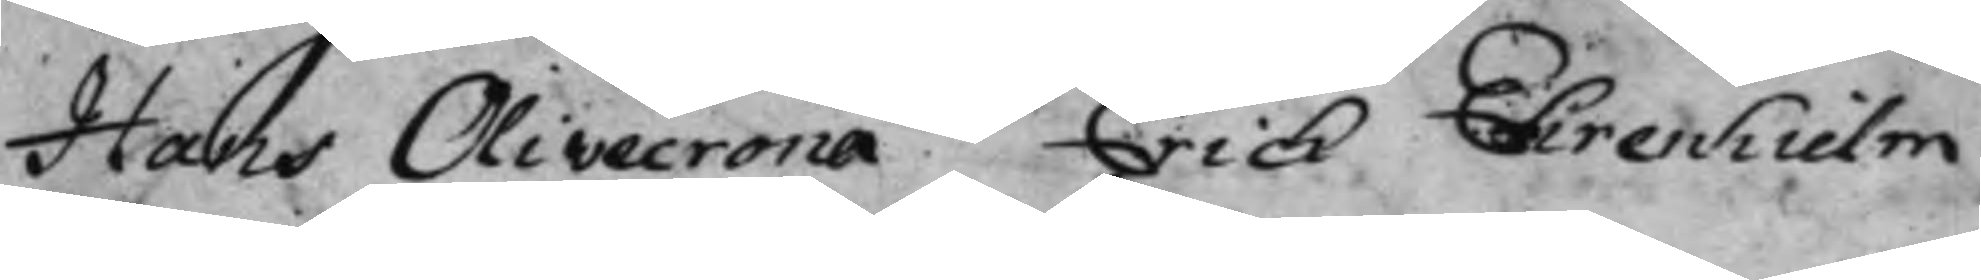Hans Olivecrona Erich Ehrenhielm
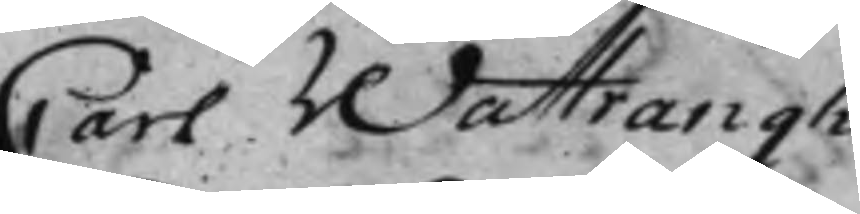Carl Wattrangh.
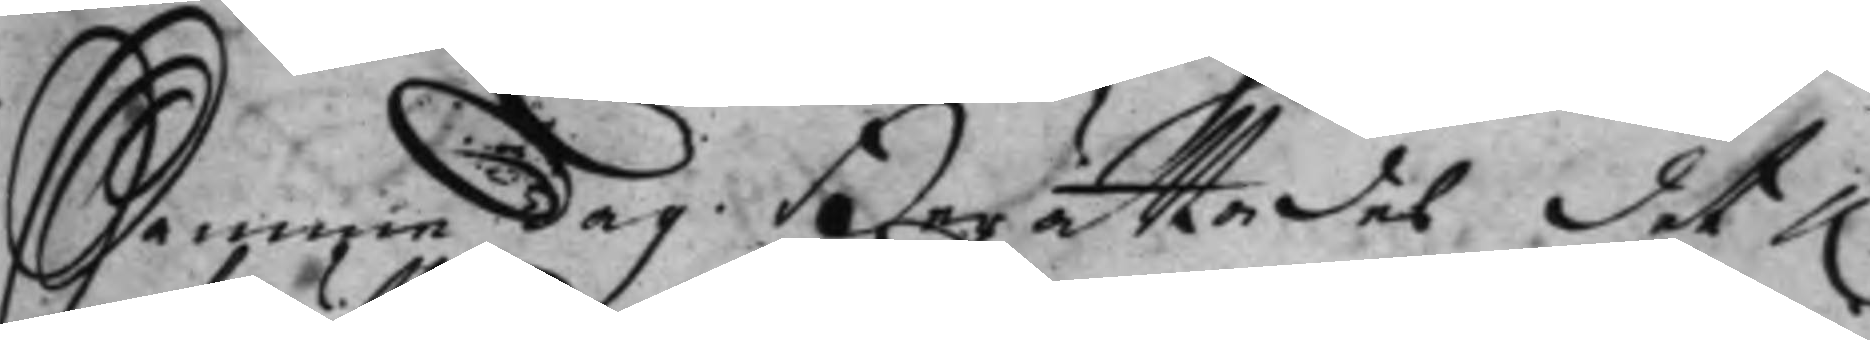Samme dag Berättades det h.r
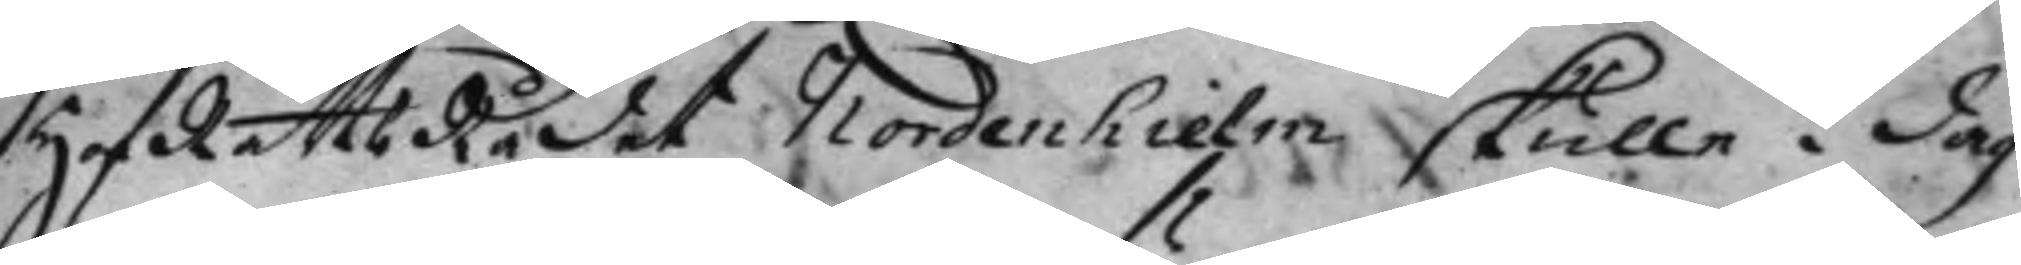HofRättsRådet Nordenhielm skulle i dag
